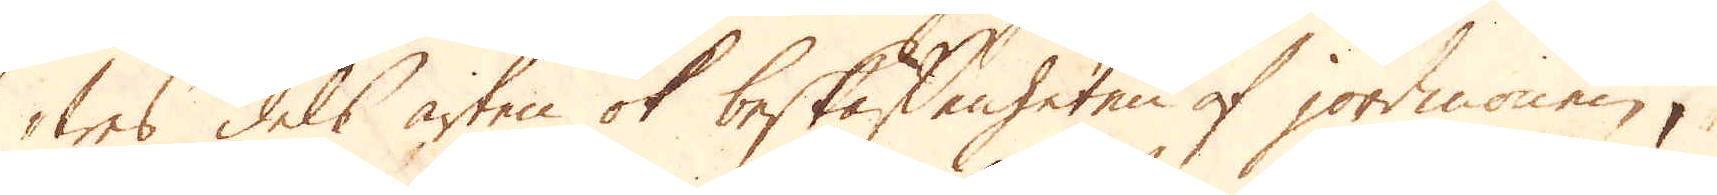wes dels arten ok beskaffenheten af jordmonen,
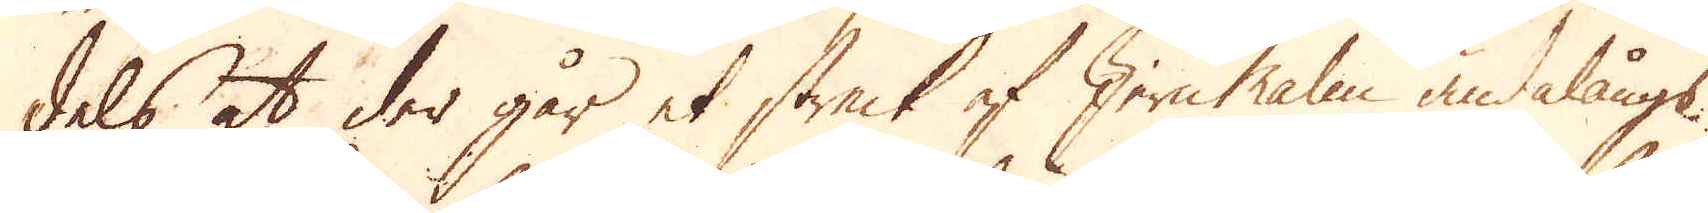dels at der går et streck af Jern Malm ändalångs
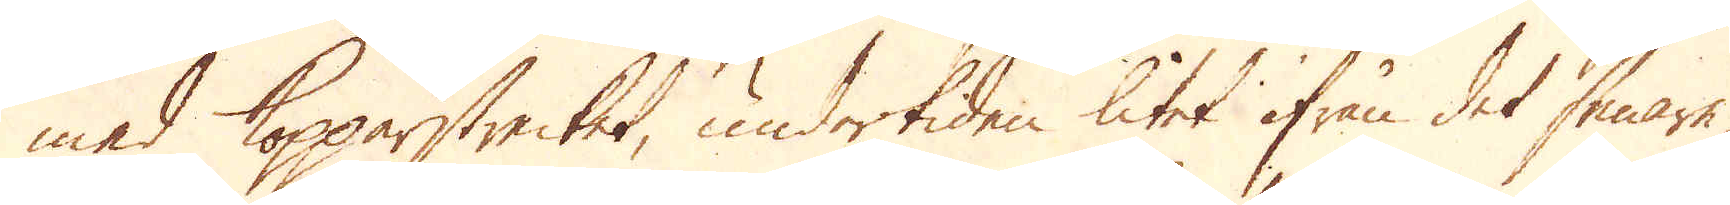med Kopparstrecket, undertiden litet ifrån det senare,
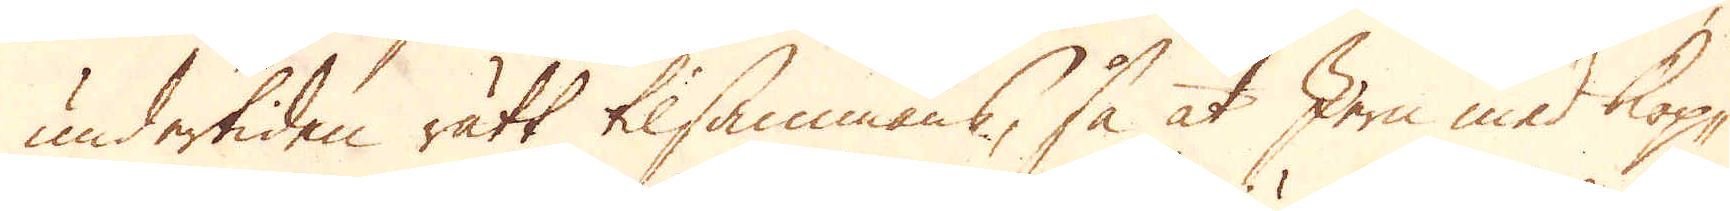undertiden rätt tilsammans, så at Jern med kop-
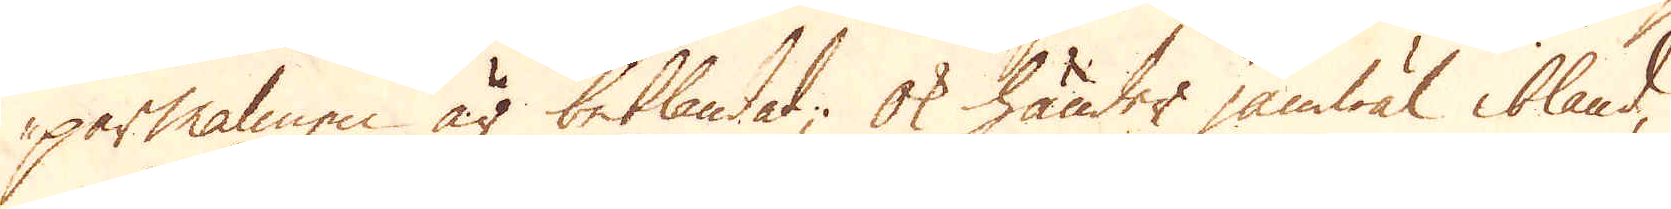parmalmen är beblandad; ok händer jämwäl ibland,
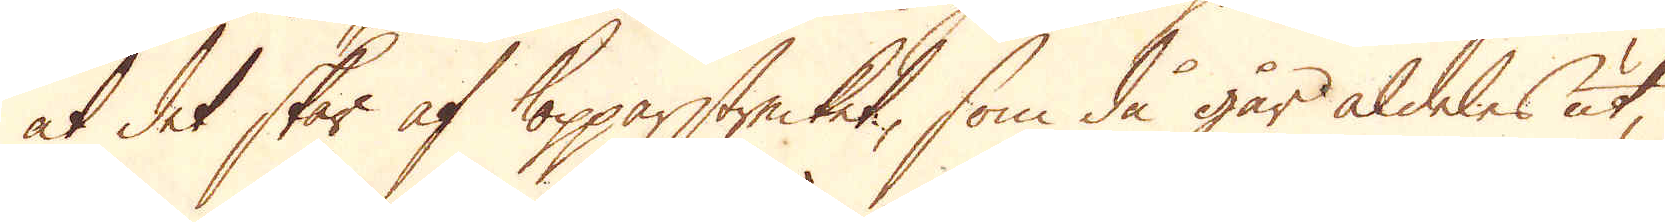at det skär af Kopparstrecket, som då går aldeles ut,
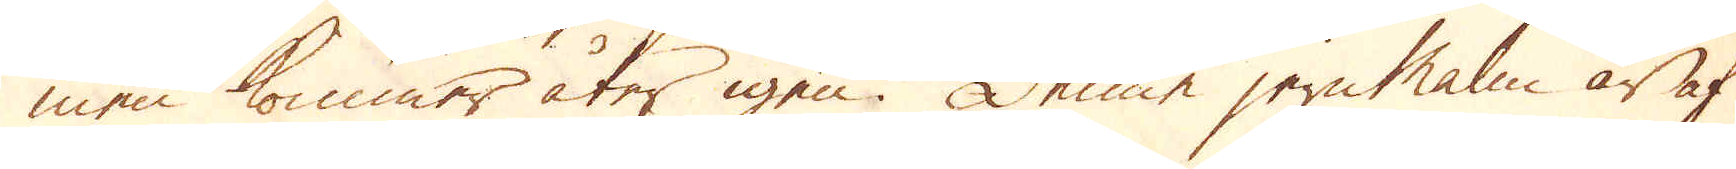men kommer åter igen. Denne jernMalm är af
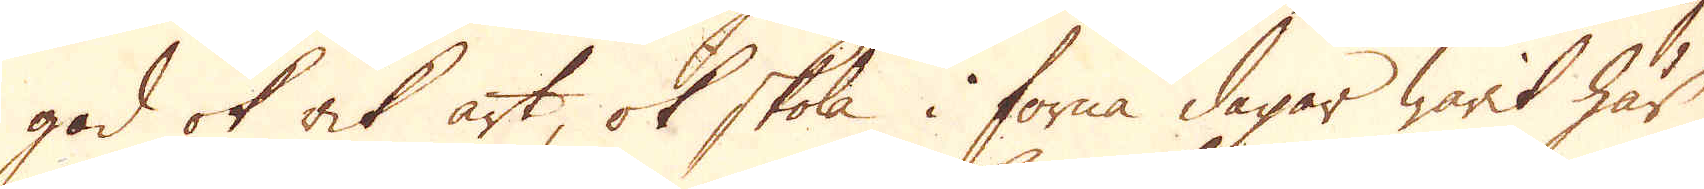god ok åk art, ok skola i forna dagar warit här
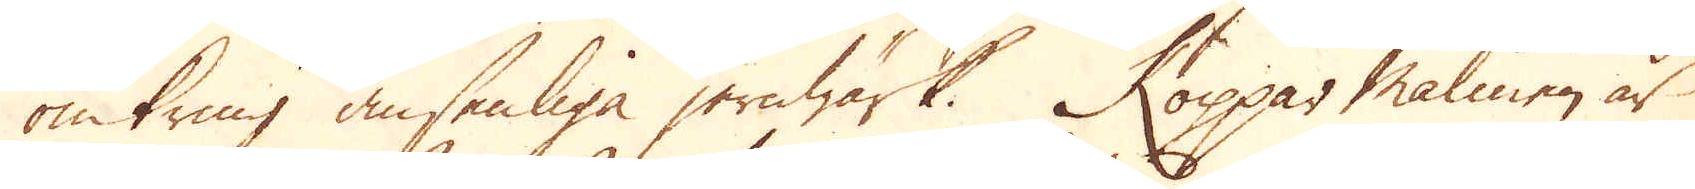omkring ansenliga jernwärk. Koppar malmen är
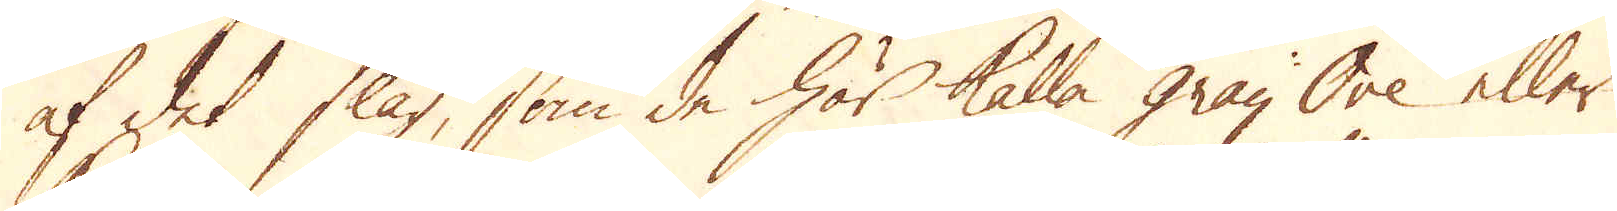af det slag, som de här kalla gray Ore eller
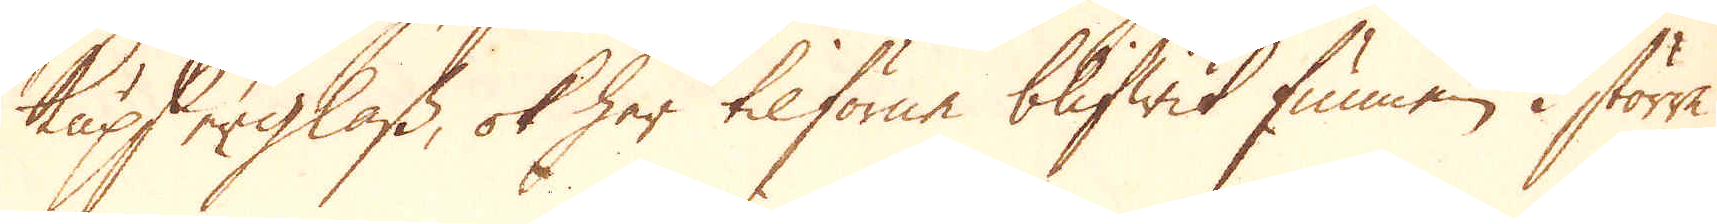kupserglass, ok har tilförne blifwit funnen i större
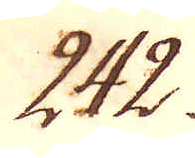242.
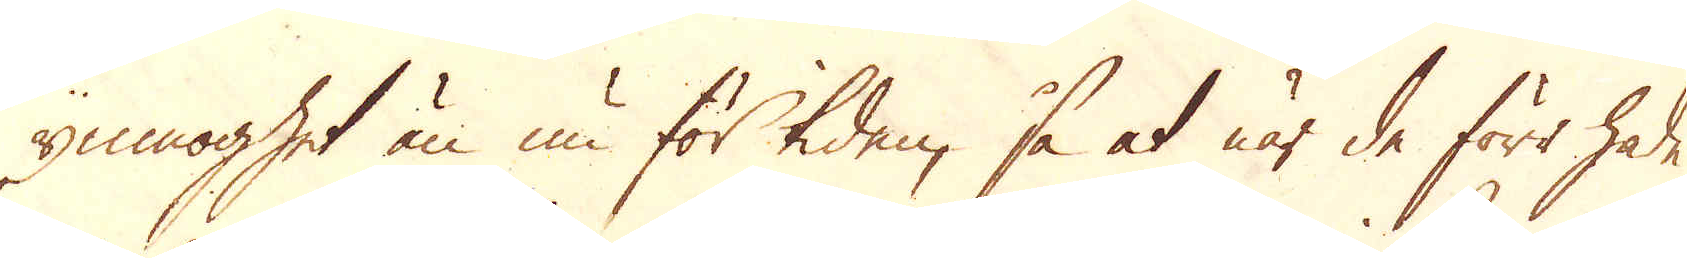ymnoghet än nu för tiden, så at när de förr hade
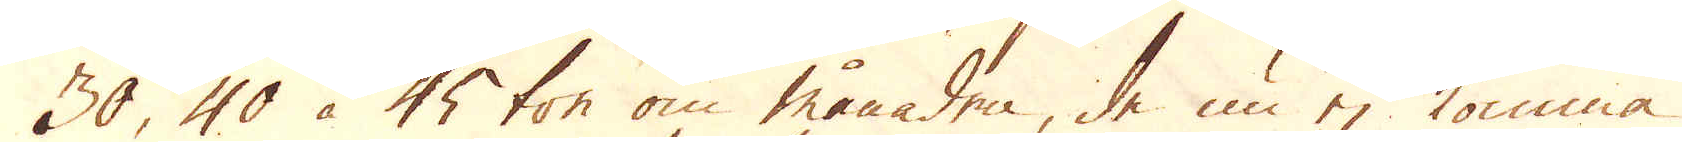30, 40 à 45 ton om månaden, de nu ej komma
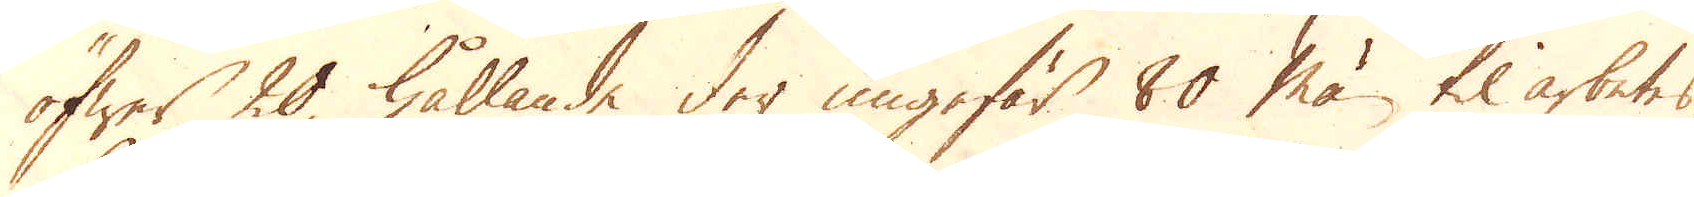öfwer 20, hållande der ungefär 80 män til arbetes,
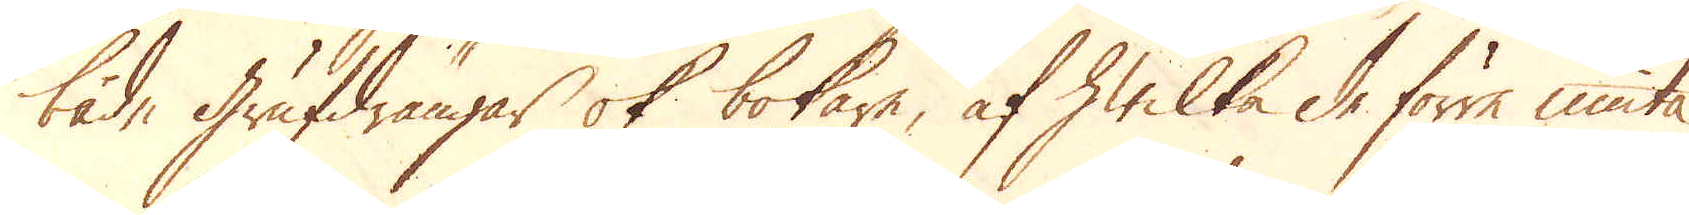både Grufdrängar ok bokare, af hwilka de förre niuta
